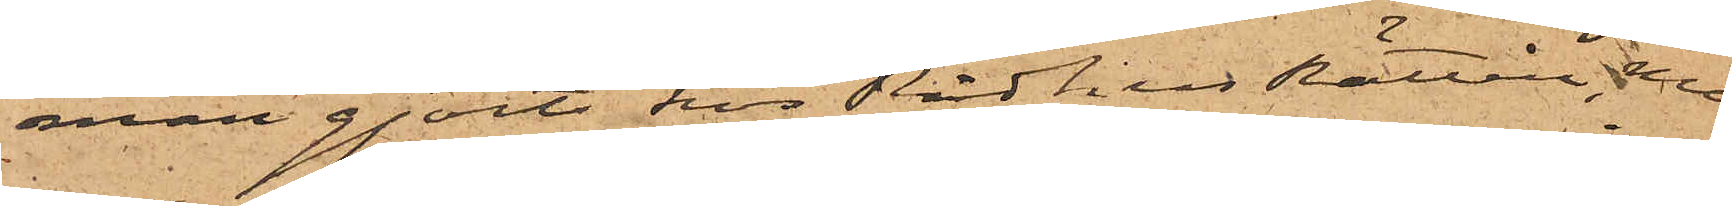man gjorts hos RådhusRätten, men
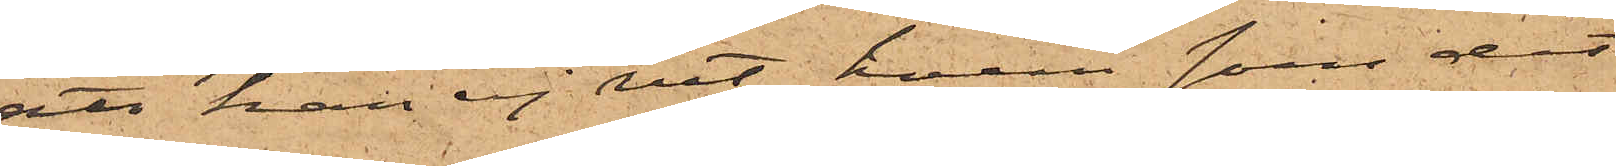att han ej vet hvem som dit
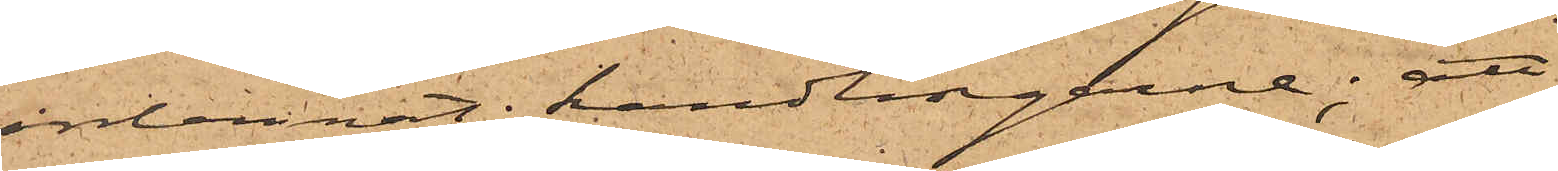inlemnat handlingarne; att
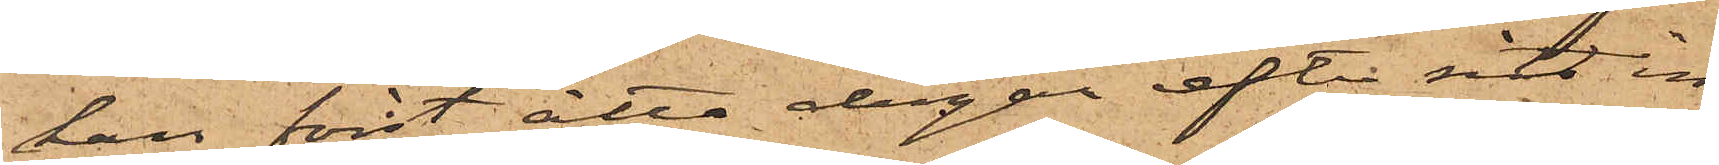han först åtta dagar efter sitt in¬
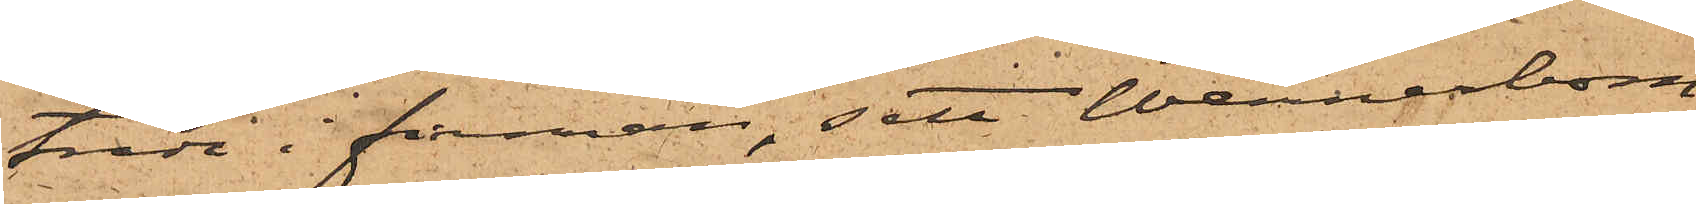träde i firman, sett Wennerbom,
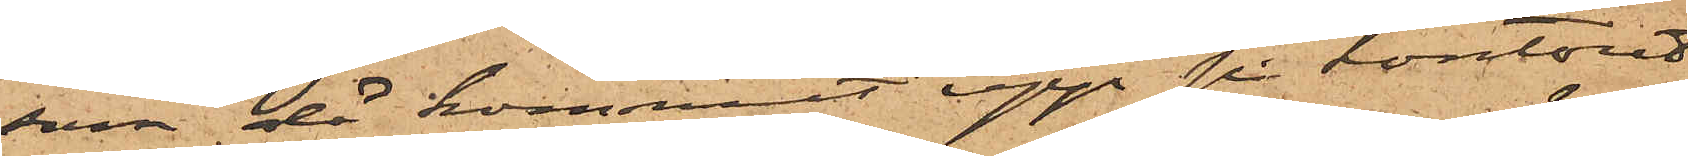som då kommit upp på kontoret
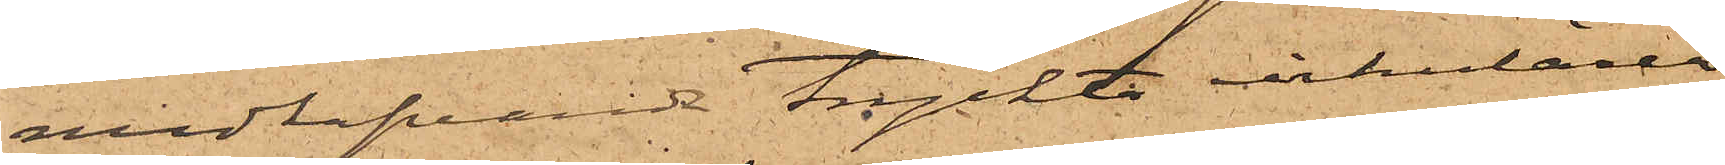medhafvande tryckta cirkulärer
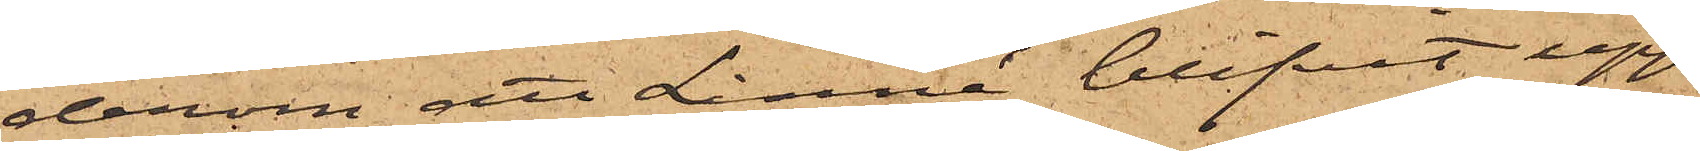derom att Linné blifvit upp¬
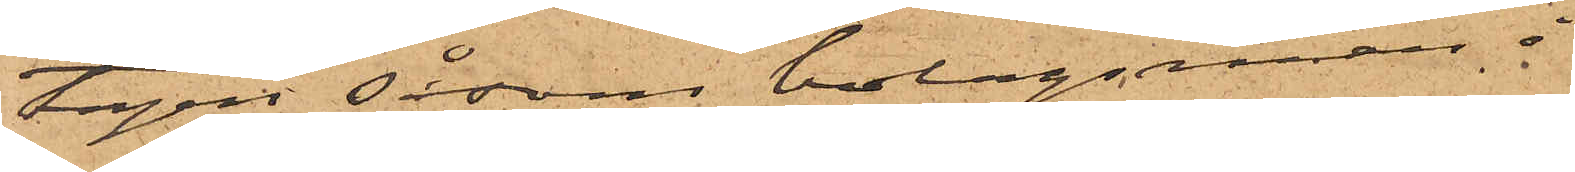tagen såsom bolagsman å
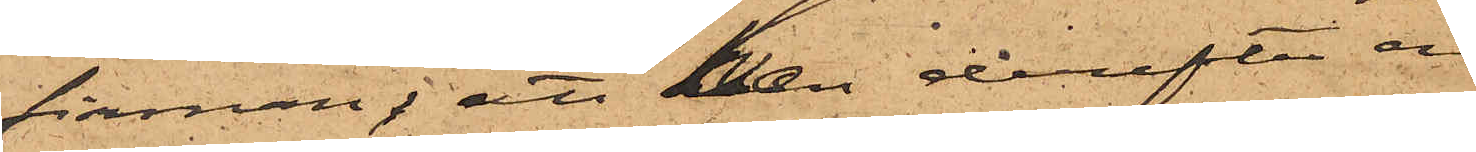firman; att han derefter en¬
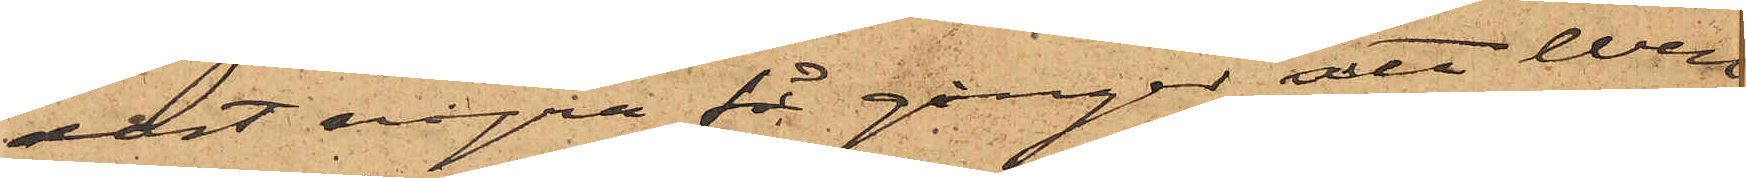dast några få gånger sett Wen¬
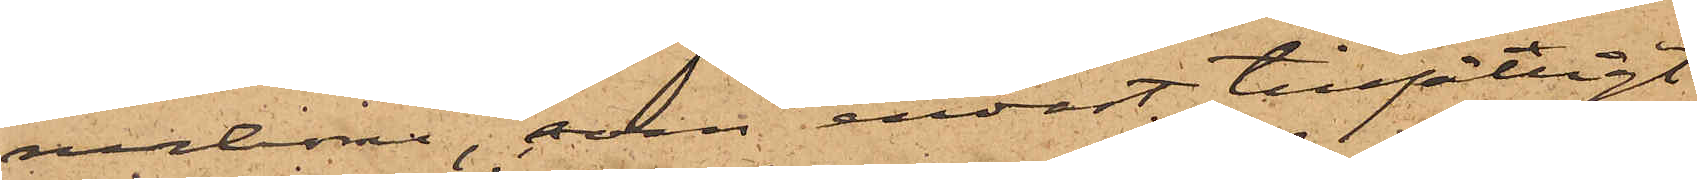nerbom, som endast tillfälligt¬
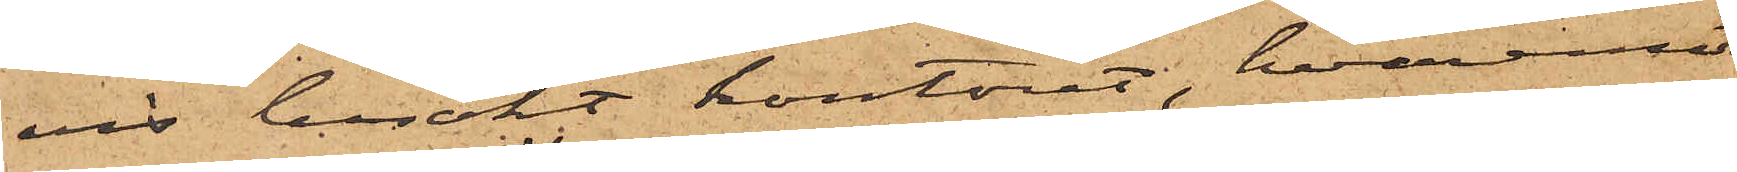vis besökt kontoret, hvaremot
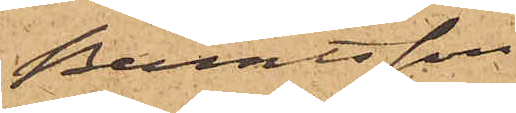Berntsson
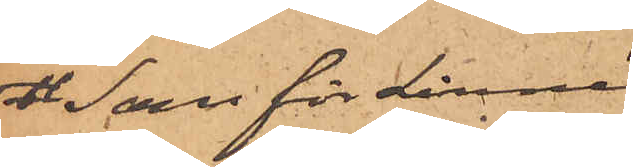Som för Linné
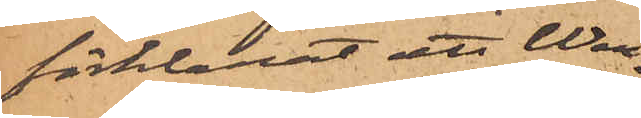förklarat, att Wen¬
